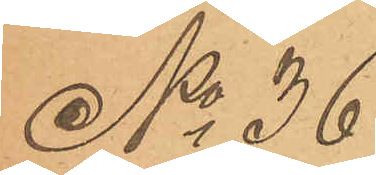No 36
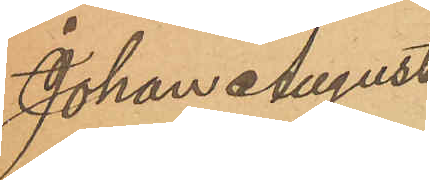Johan August
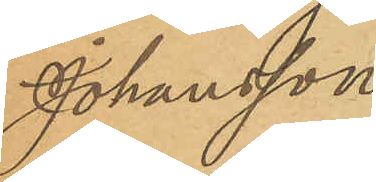Johansson
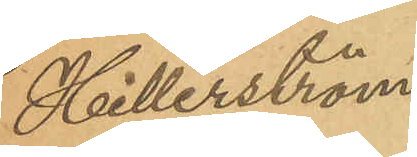Hillerström.
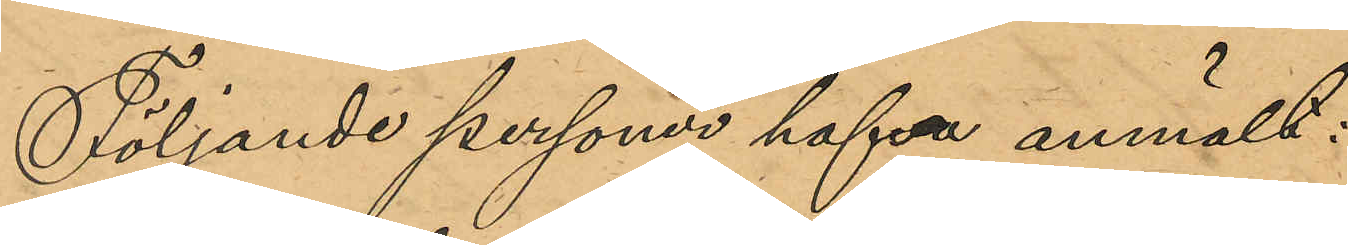Följande personer hafva anmält:
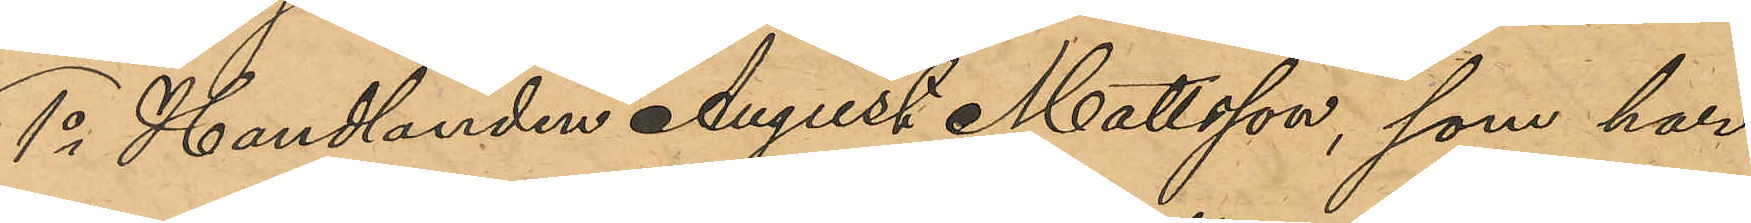1o Handlanden August Mattsson, som har
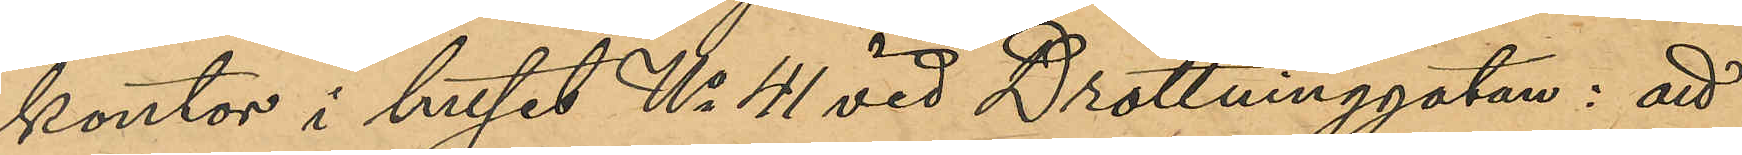kontor i huset No 41 vid Drottninggatan: att
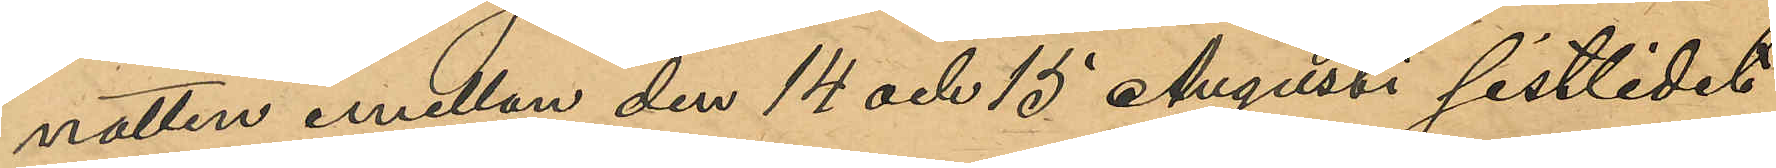natten emellan den 14 och 15 Augusti sistlidet
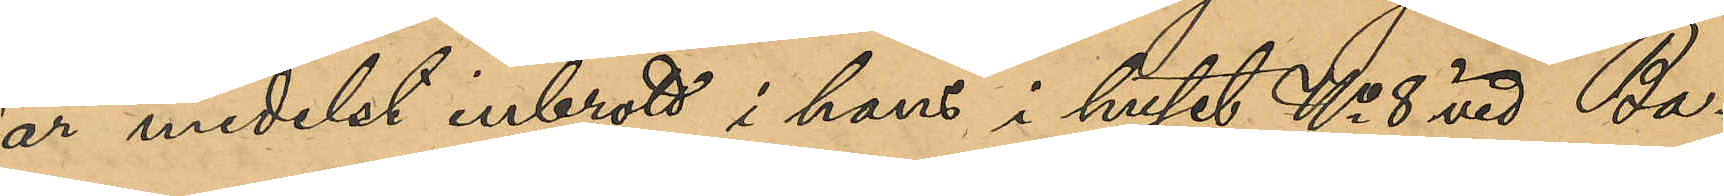år medelst inbrott i hans i huset No 8 vid Ba¬
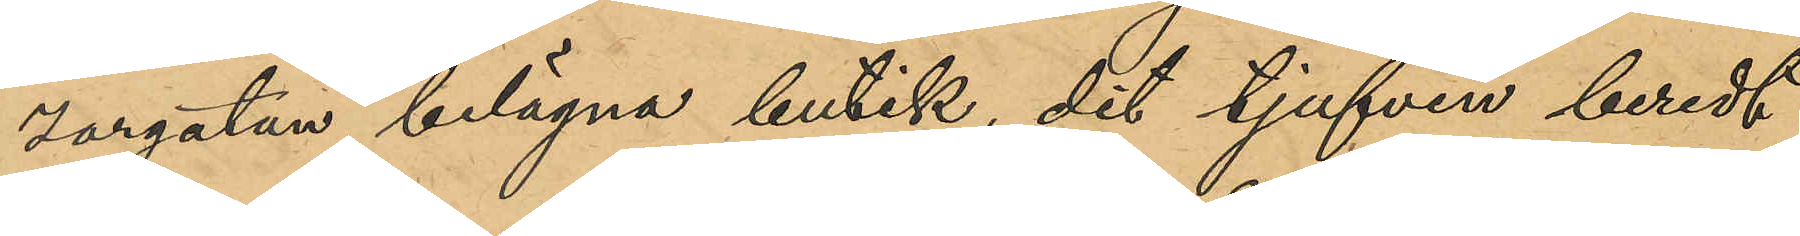zargatan belägna butik, dit tjufven beredt
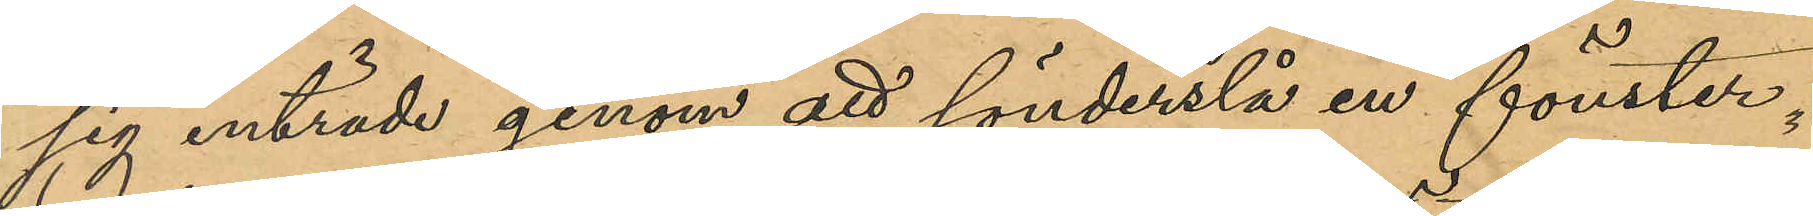sig inträde genom att sönderslå en fönster¬
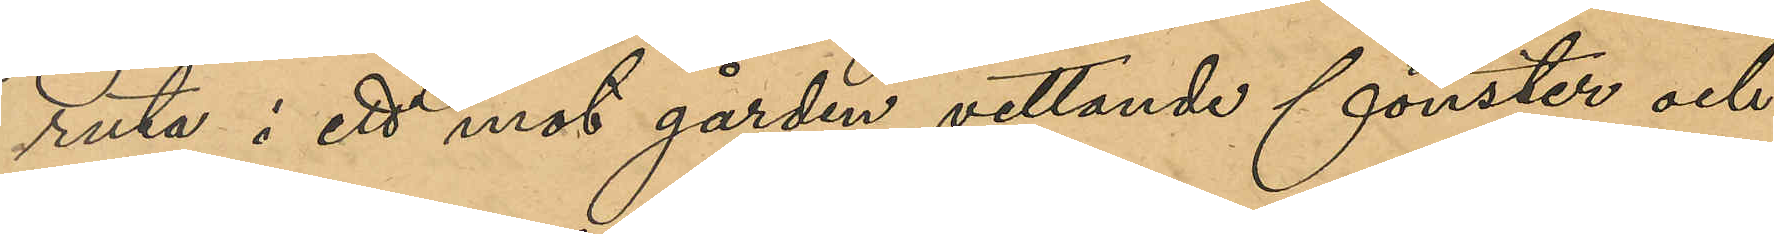ruta i ett mot gården vettande fönster och
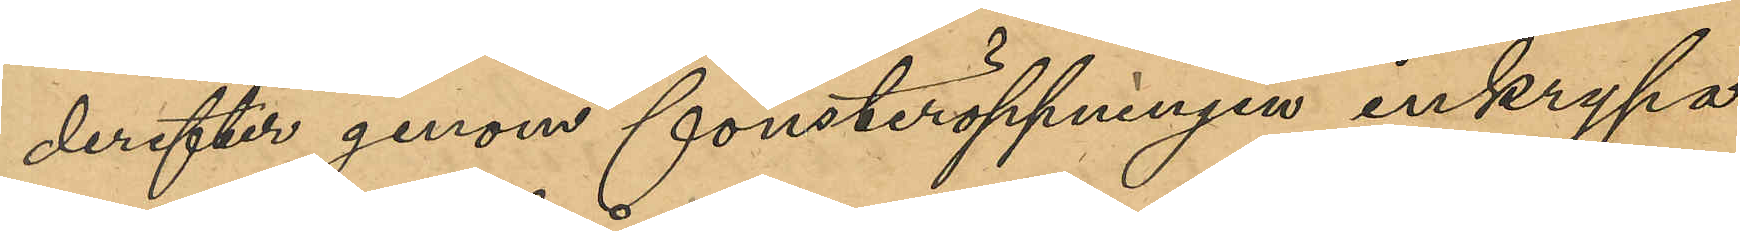derefter genom fönsteröppningen inkrypa
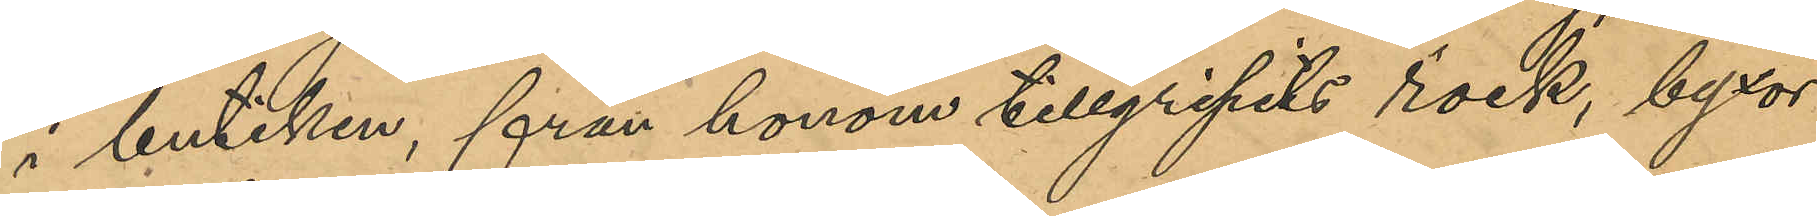i butiken, från honom tillgripits rock, byxor
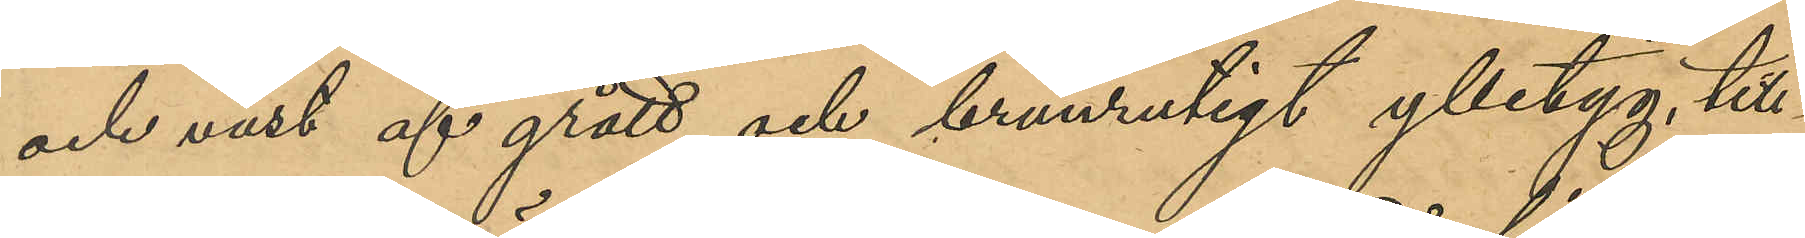och väst af grått och brunrutigt ylletyg, till¬
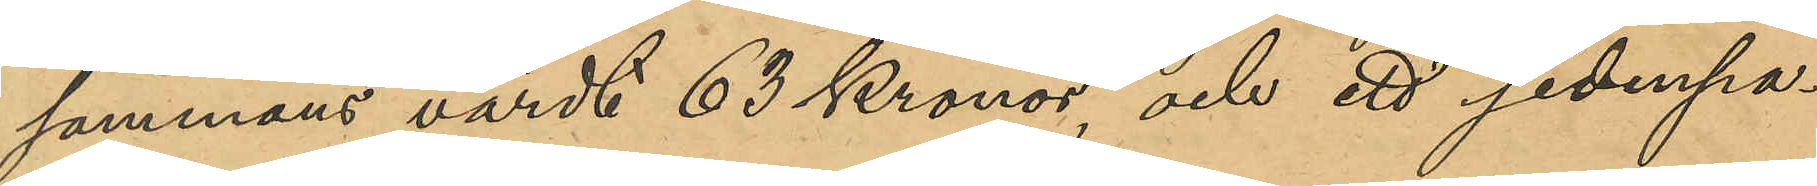sammans värde 63 Kronor, och ett sidenpa¬
